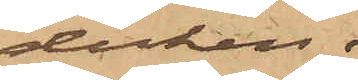duken.
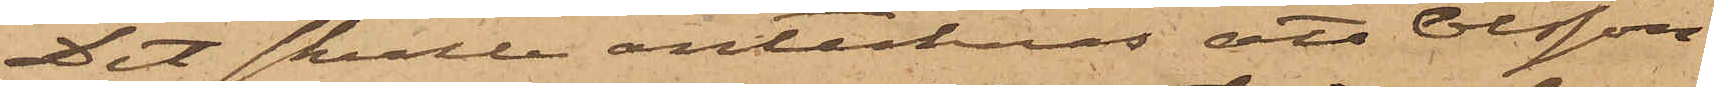Det skulle antecknas, att Olsson
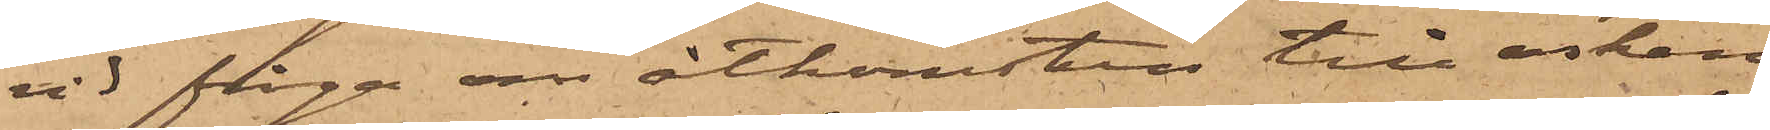vid fråga om åtkomsten till asken
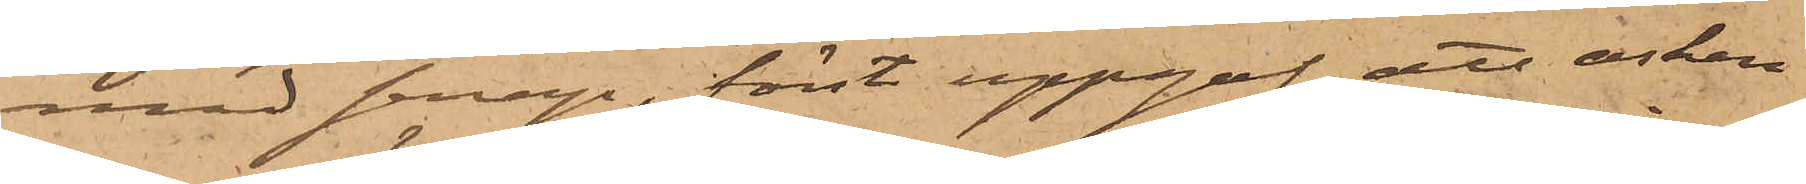med senap, först uppgaf att asken
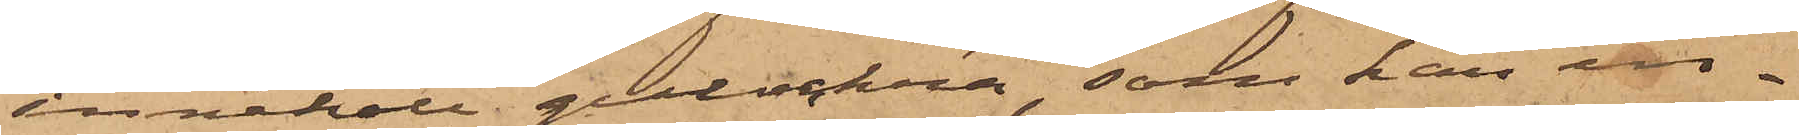innehöll gulockra, som han in¬
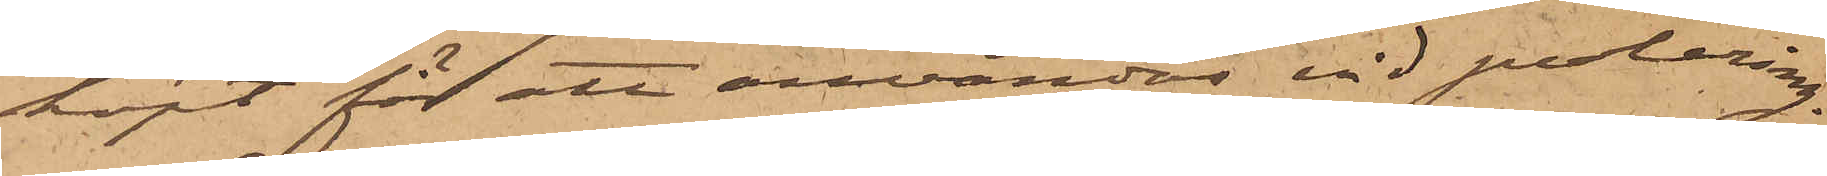köpt för att användas vid polering.
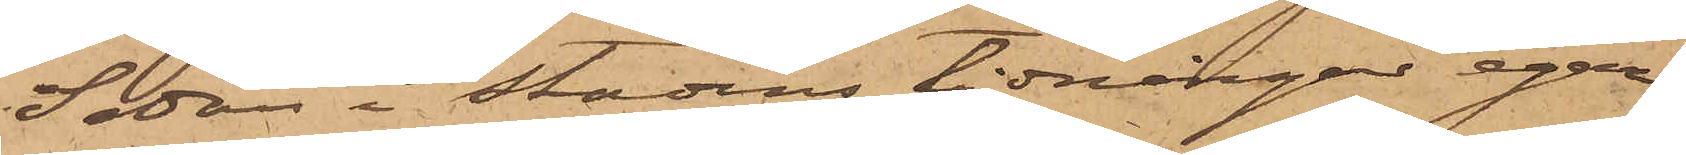Sedan i stadens tidningar egar¬
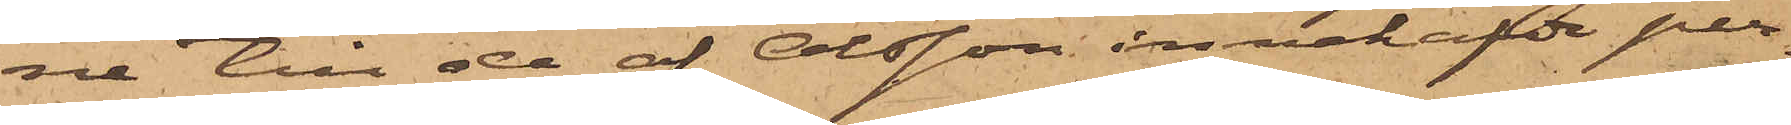ne till de af Olsson innehafde per¬
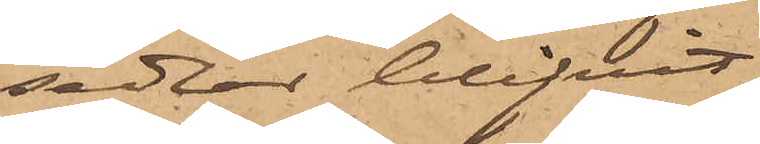sedlar blifvit
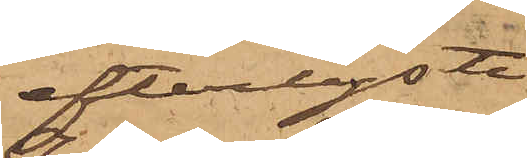efterlyste
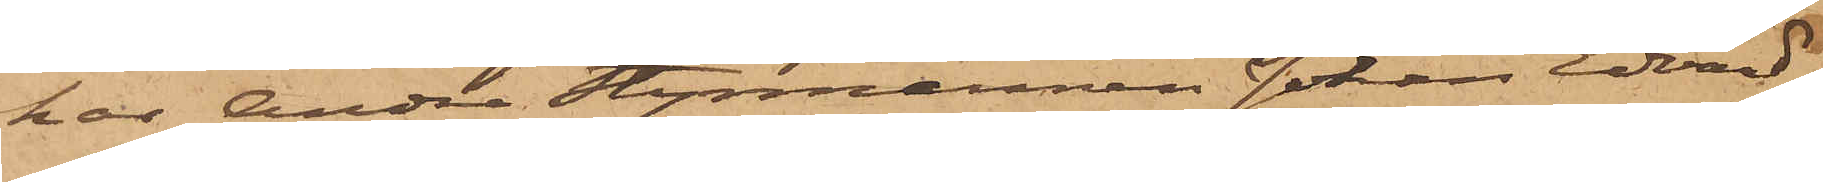har Andre Styrmannen Johan Edvard
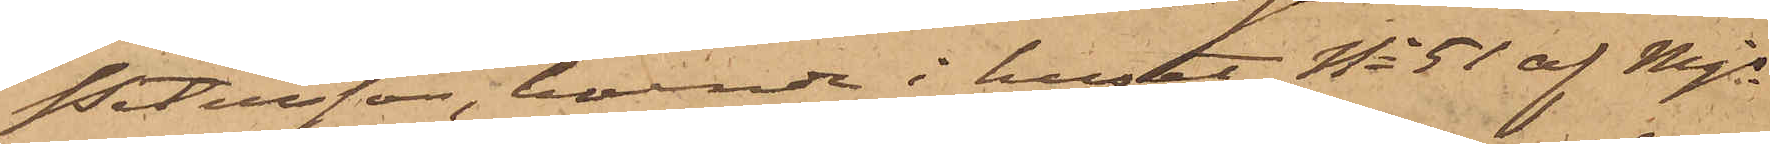Petersson, boende i huset No 51 af Mjs
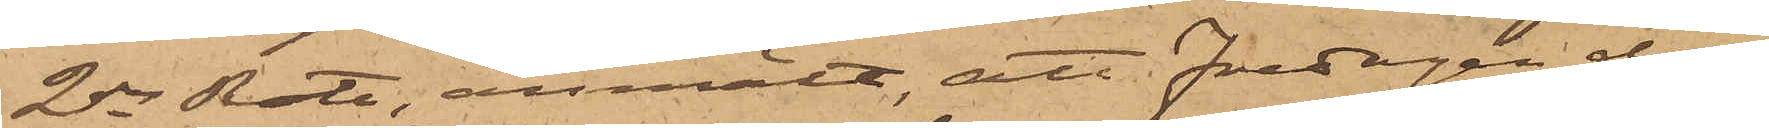2dra Rote, anmält, att Fredagen den
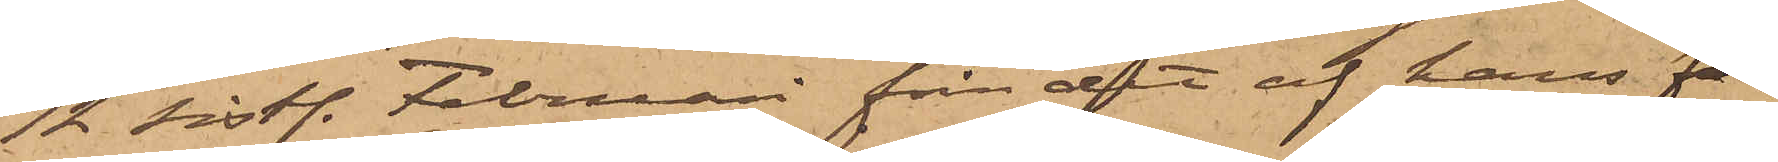12 sistl. Februari från det af hans fa¬
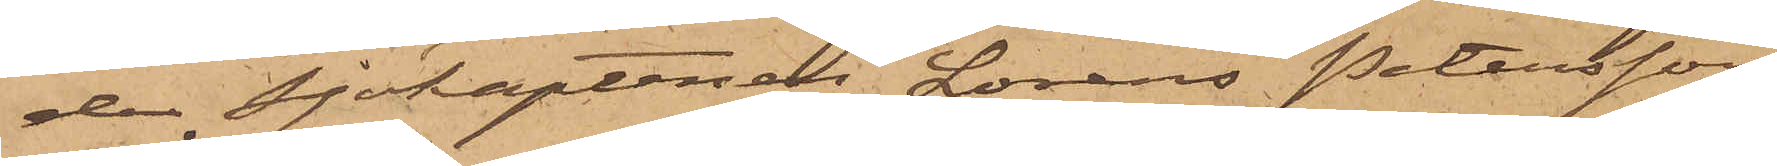der Sjökaptenen Lorens Petersson
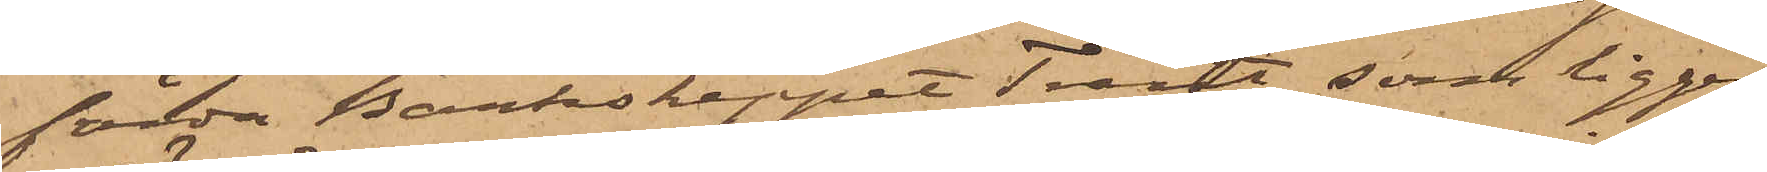förda Barkskeppet Trent, som ligger
